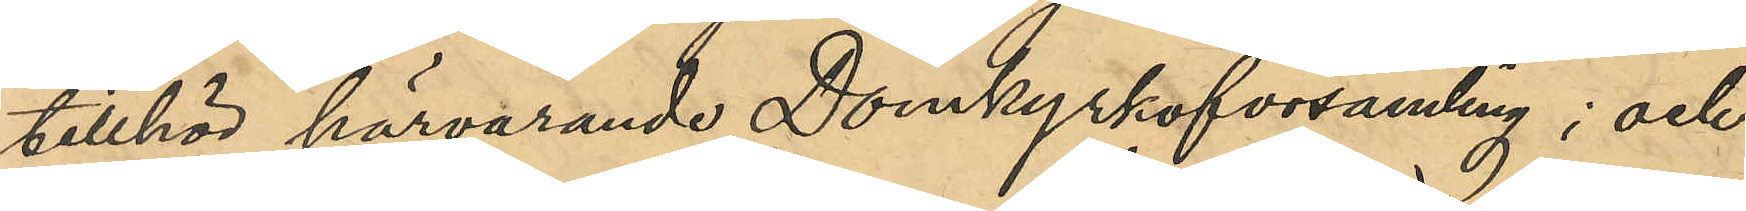tillhör härvarande Domkyrkoförsamling; och
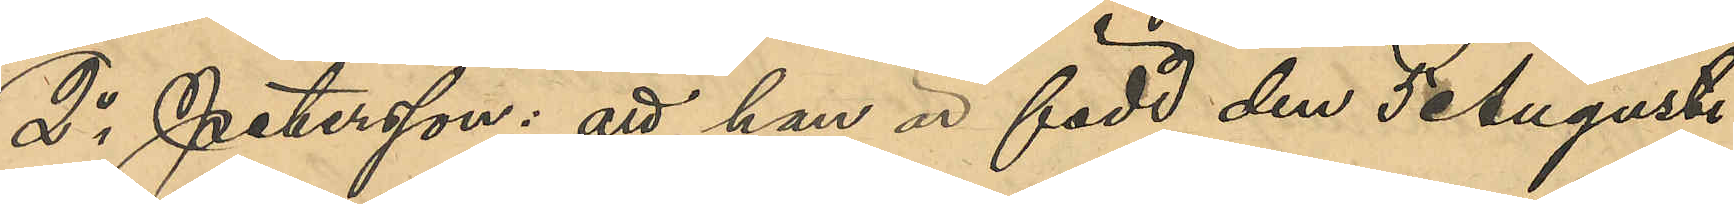2o Petersson: att han är född den 5 Augusti
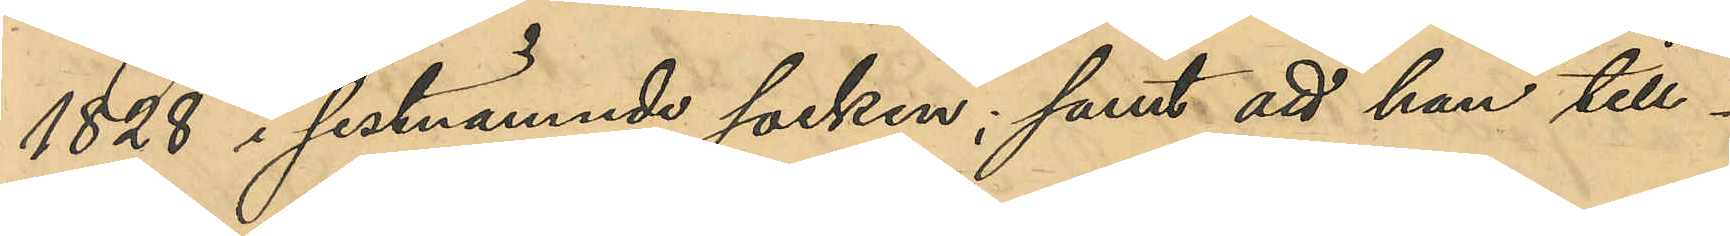1828 i sistnämnde socken; samt att han till¬
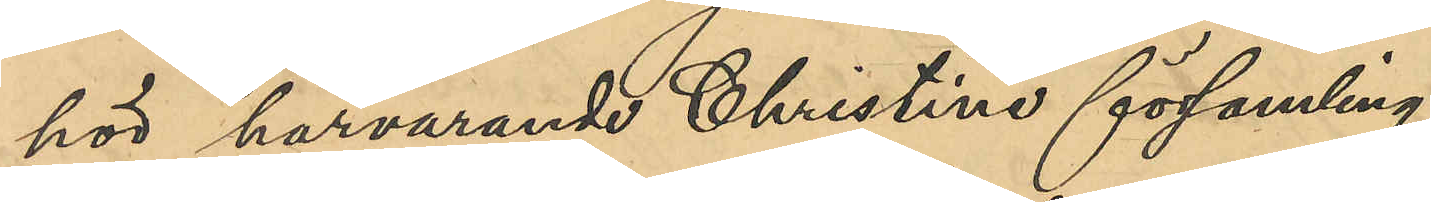hör härvarande Christine församling.
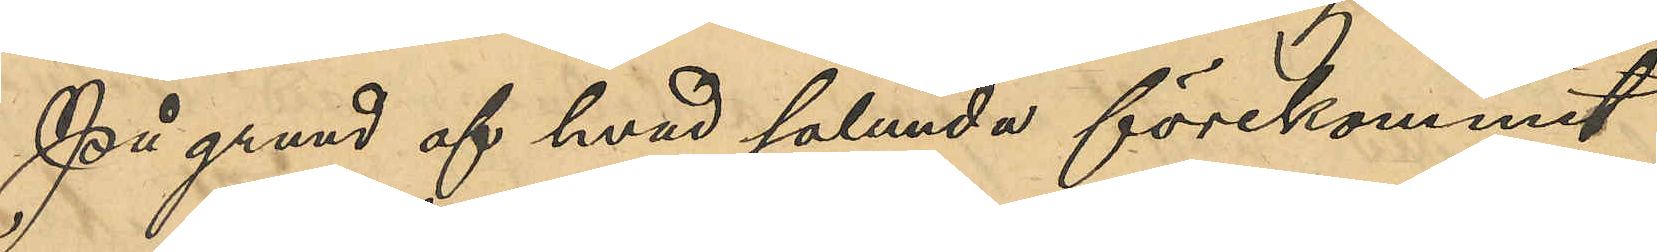På grund af hvad sålunda förekommit
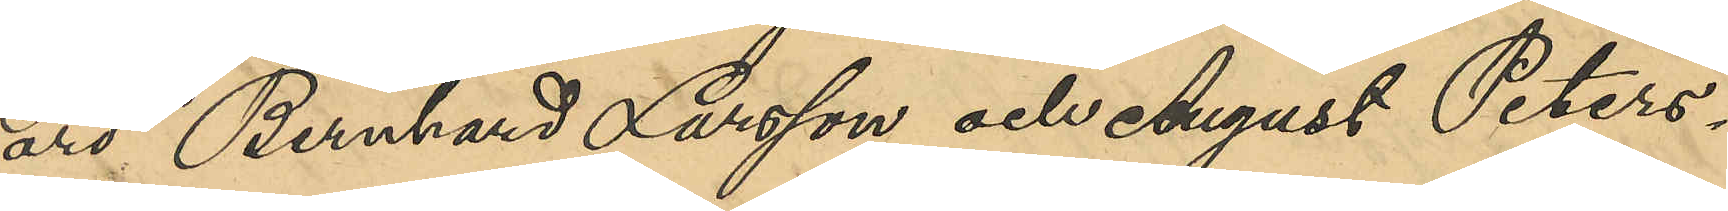äro Bernhard Larsson och August Peters¬
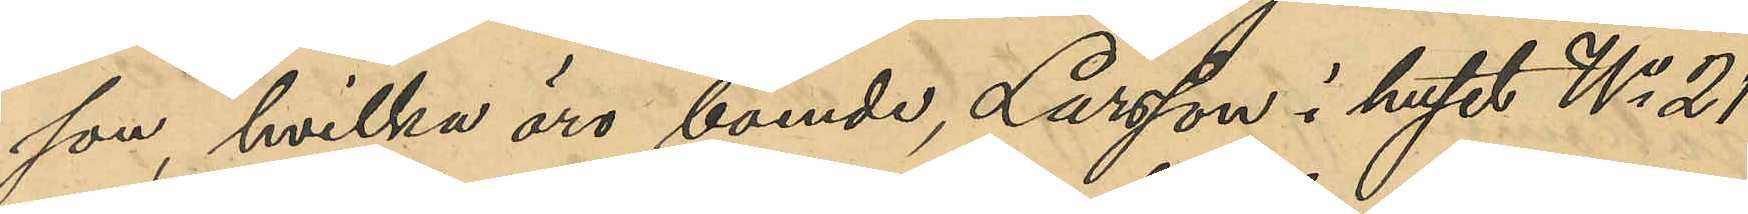son, hvilka äro boende, Larsson i huset No 21
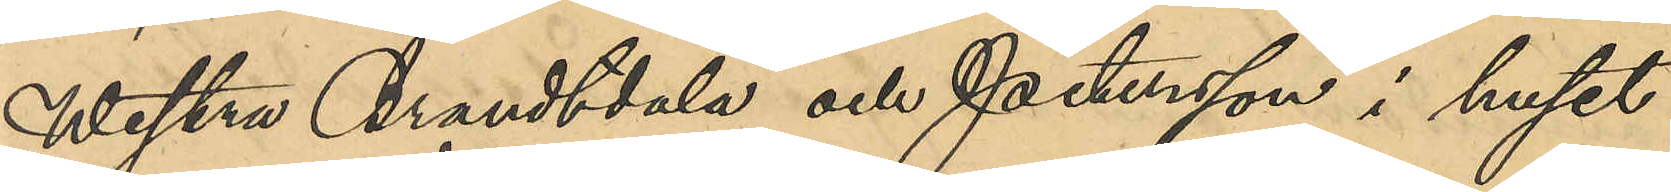Westra Brandtdala och Petersson i huset
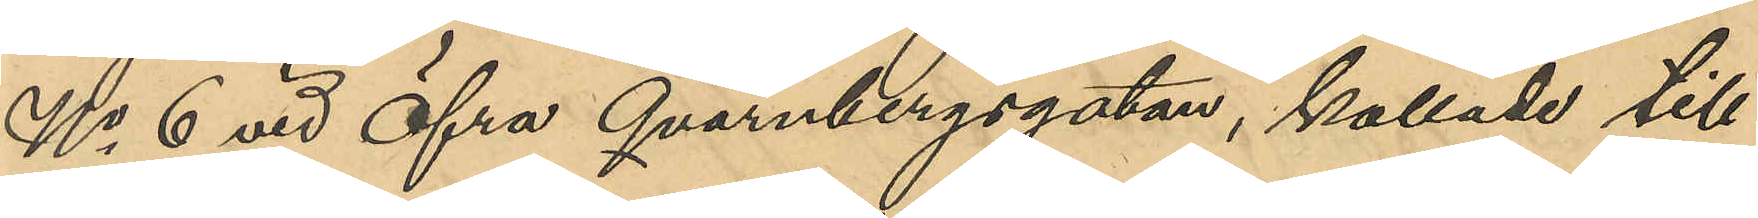No 6 vid Östra Qvarnbergsgatan, kallade till
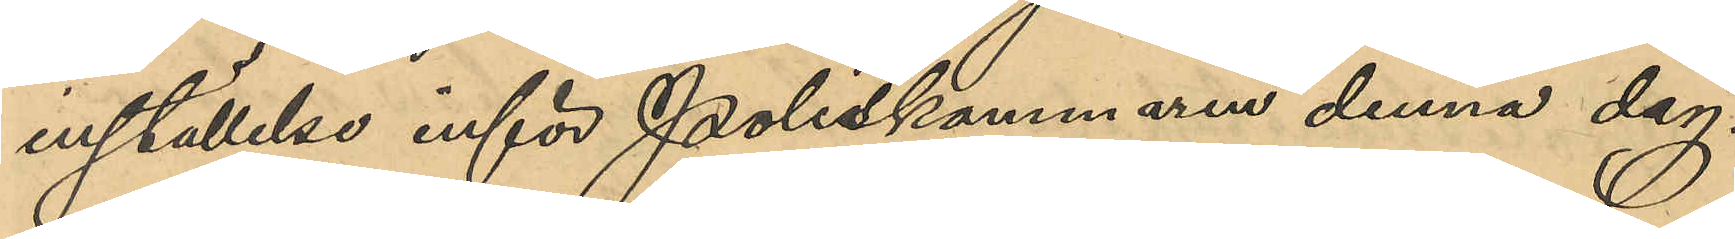inställelse inför Poliskammaren denna dag.
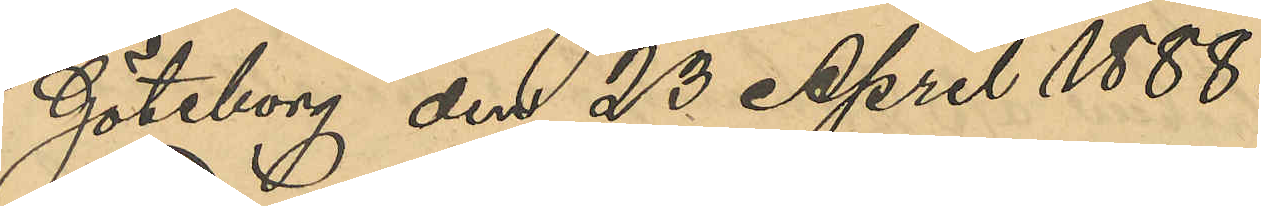Göteborg den 23 April 1888.
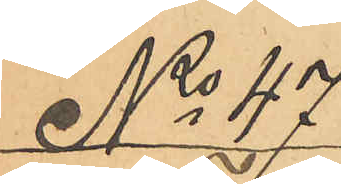No 47
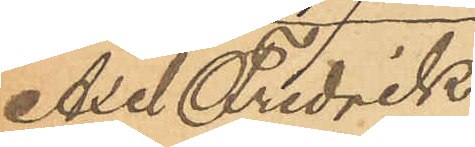Axel Fredrik
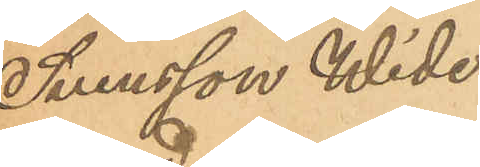Svensson Wide¬
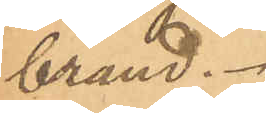brand.
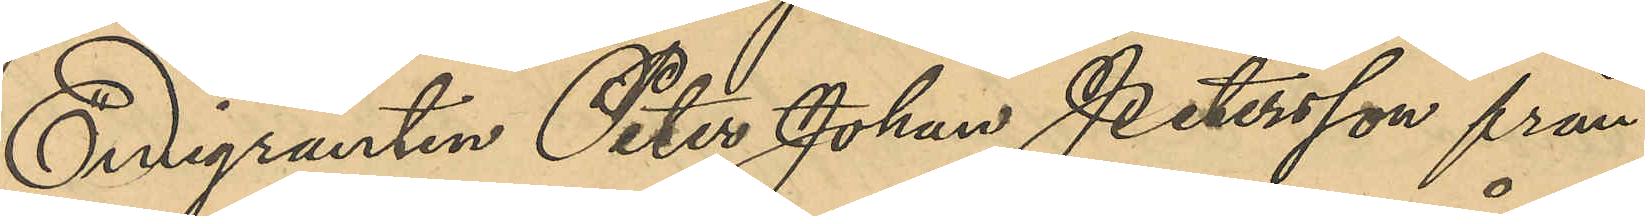Emigranten Peter Johan Petersson från 
